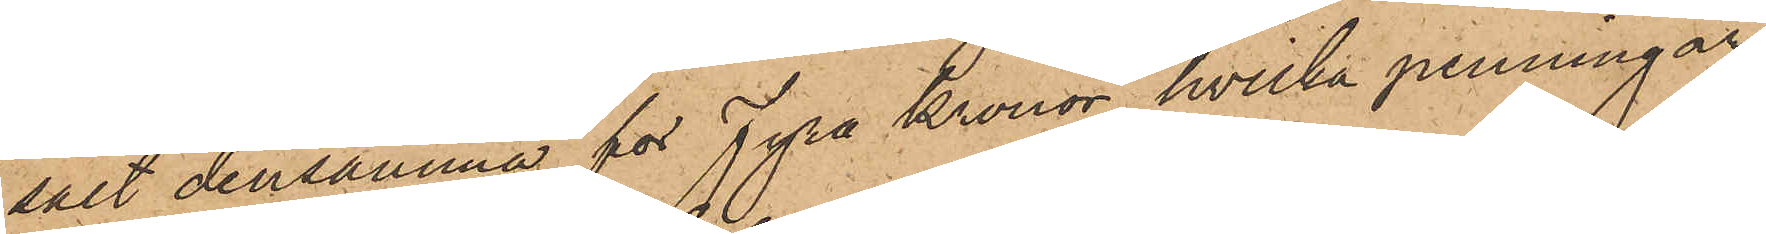sålt densamma för Fyra Kronor, hvilka penningar
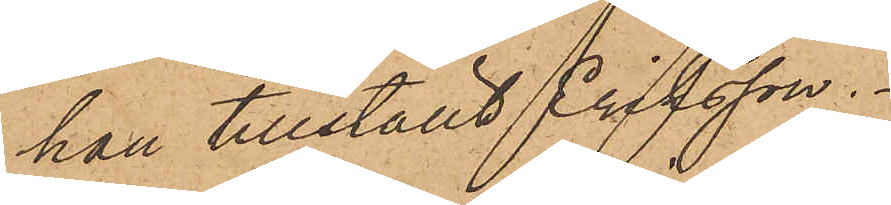han tillställt Eriksson.
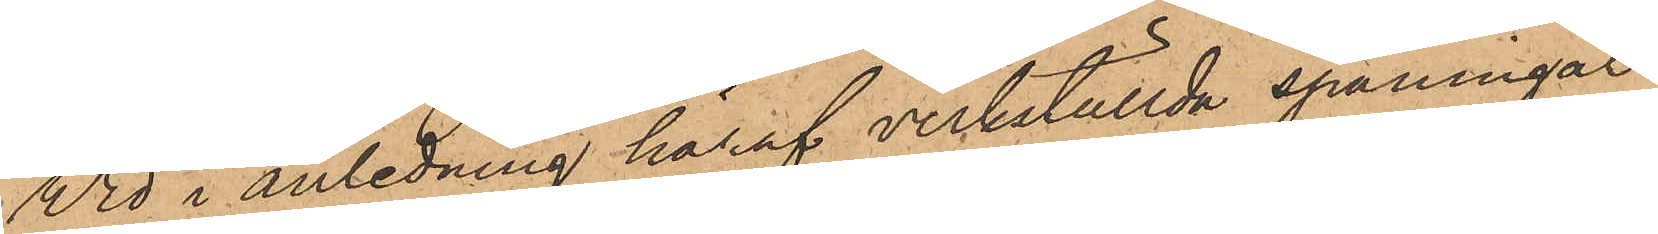Wid i anledning häraf verkställda spaningar
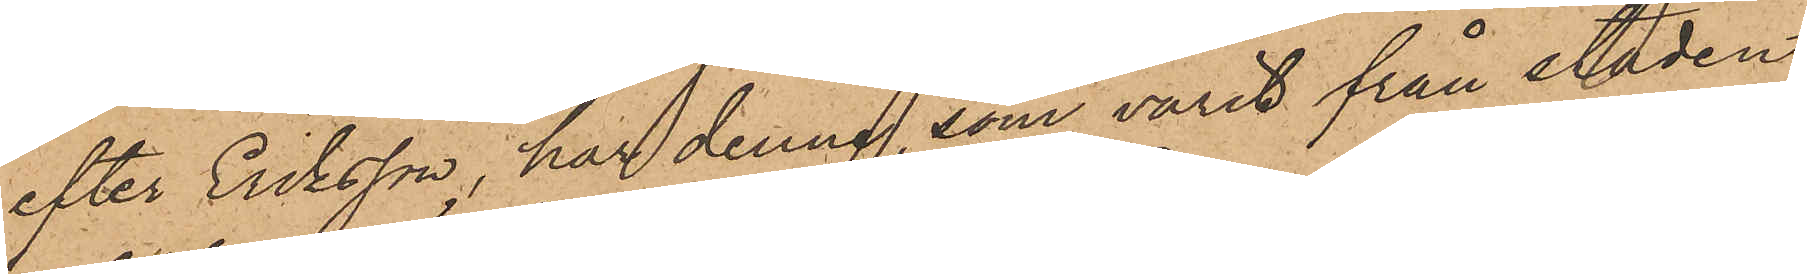efter Eriksson, har denne, som varit från staden
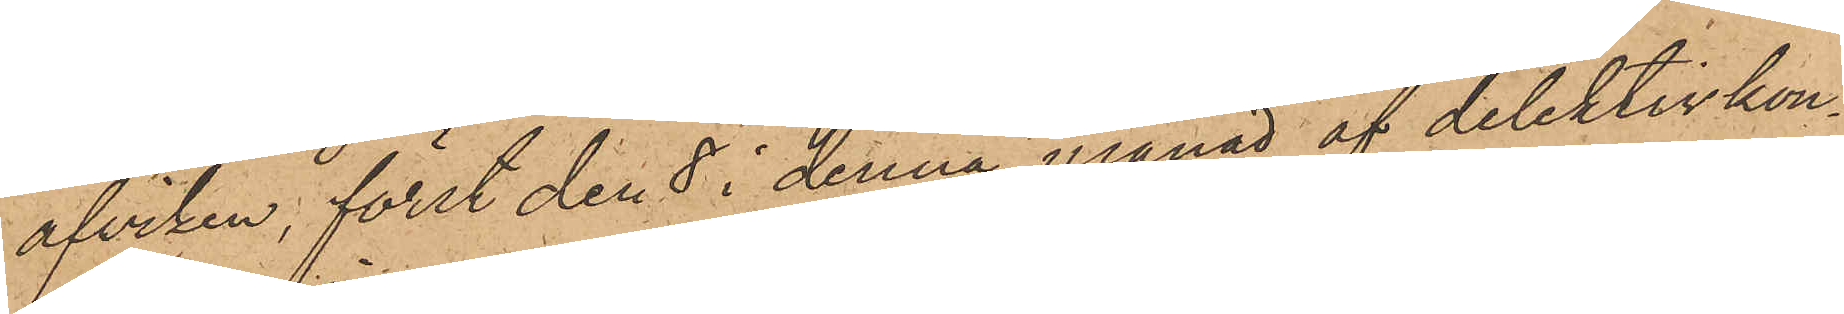afviken, först den 8 i denna månad af detektivkon¬
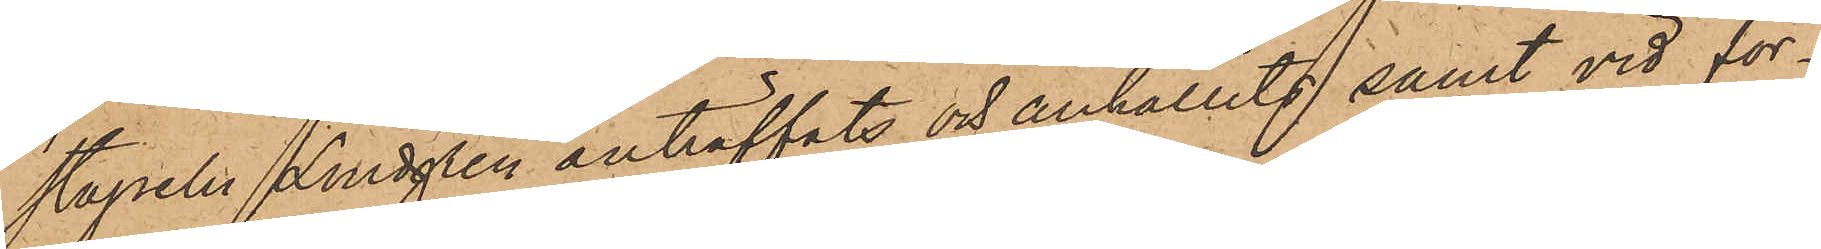stapeln Lindgren anträffats och anhållits samt vid för¬
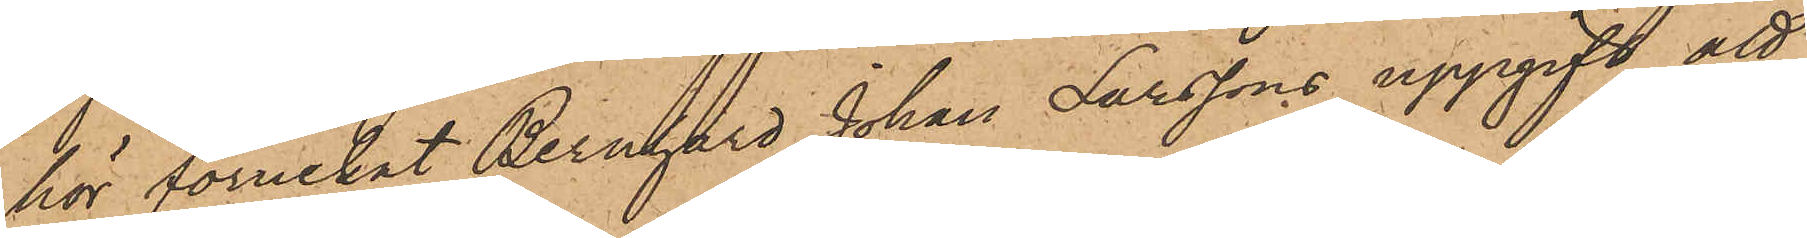hör förnekat Bernhard Johan Larssons uppgift att
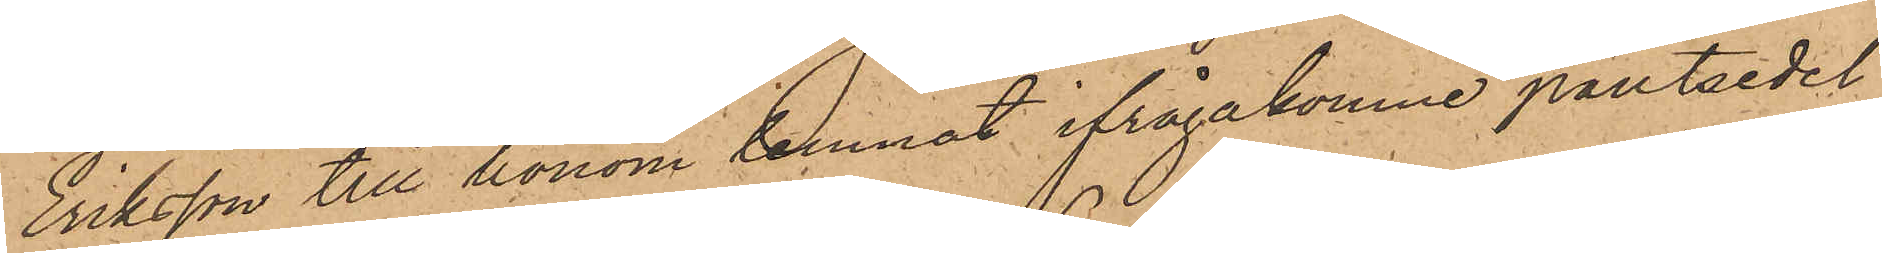Eriksson till honom lemnat ifrågakomne pantsedel,
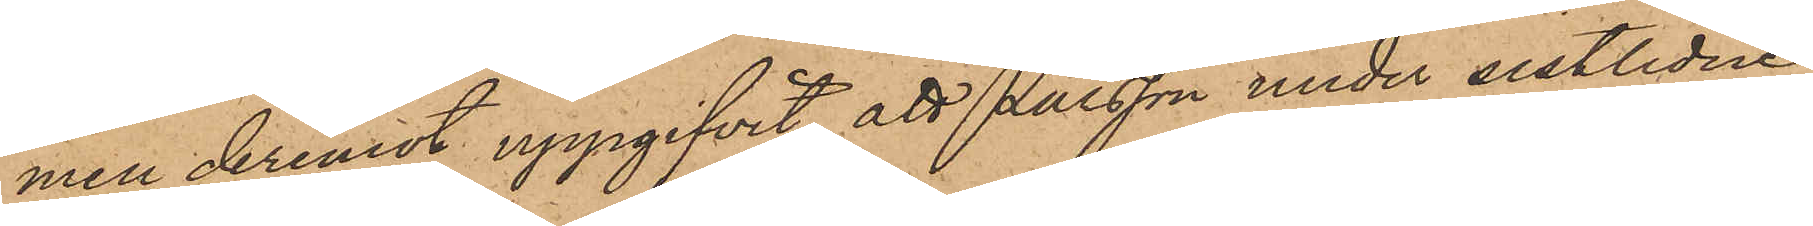men deremot uppgifvit, att Larsson under sistlidne
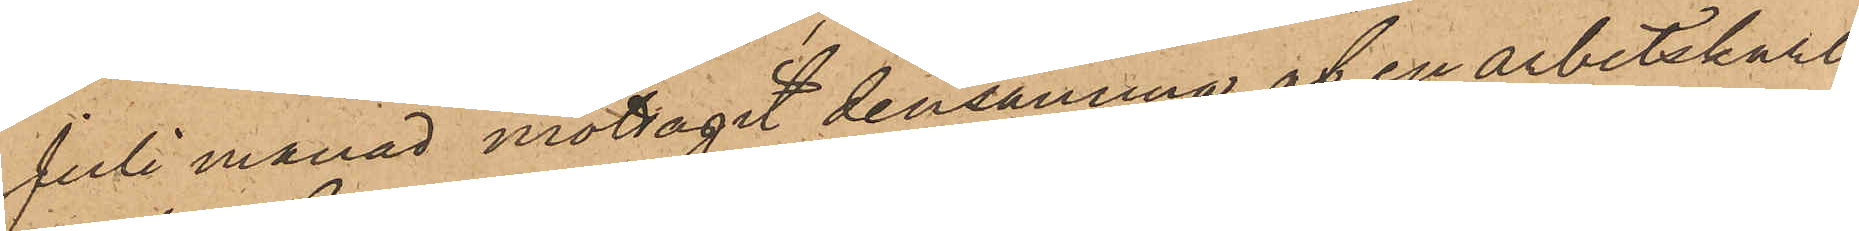Juli månad mottagit densamma af en arbetskarl
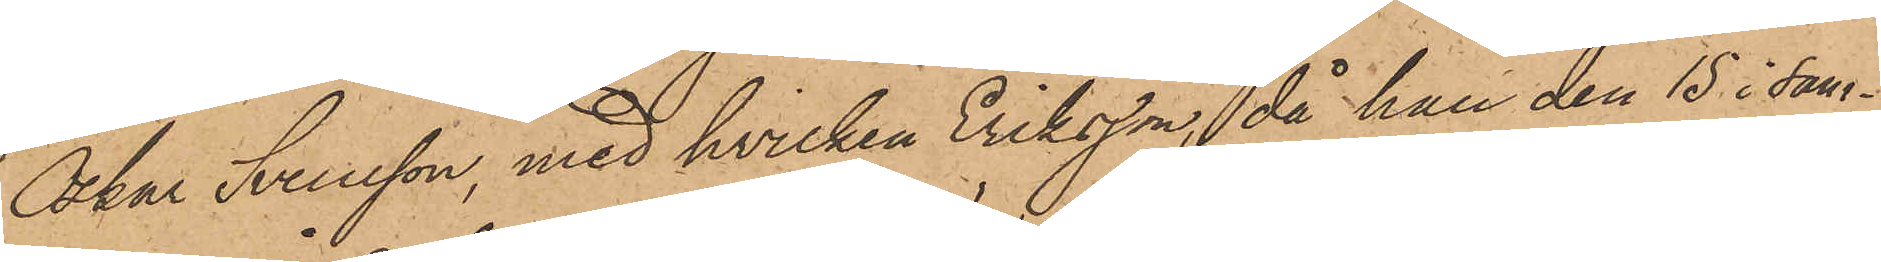Oskar Svensson, med hvilken Eriksson, då han den 15 i sam¬
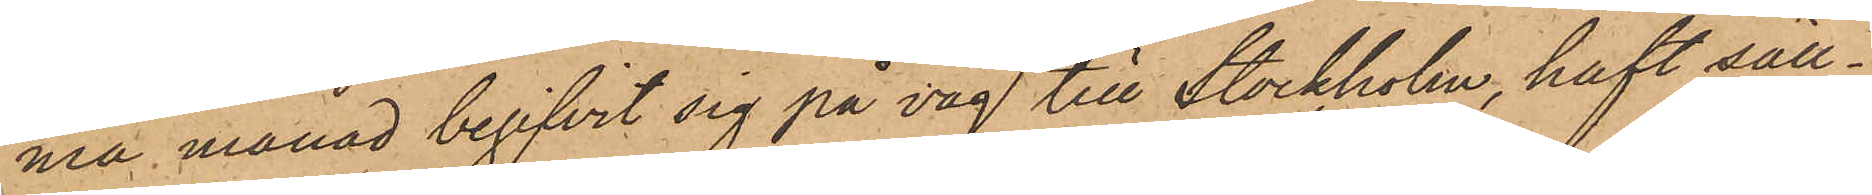ma månad begifvit sig på väg till Stockholm, haft säll¬
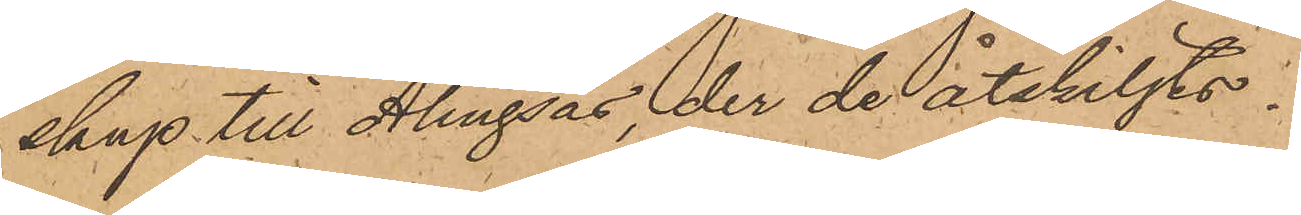skap till Alingsås, der de åtskiljts.
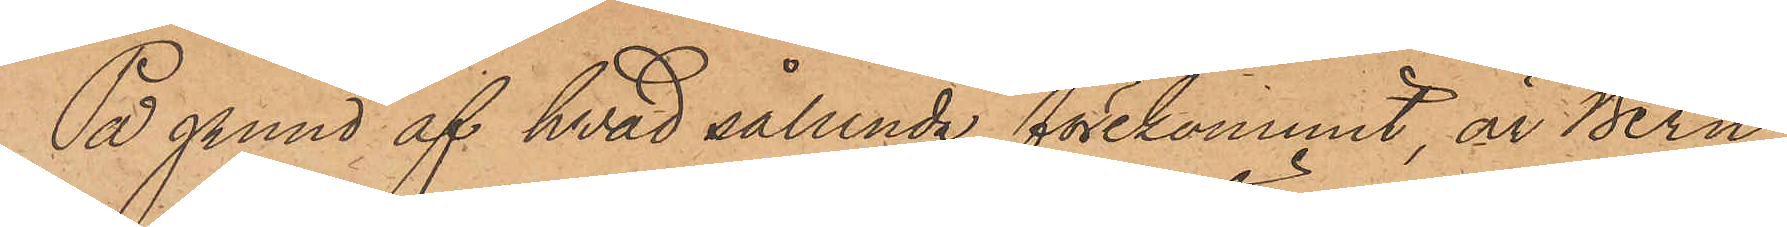På grund af hvad sålunda förekommit, är Bern¬
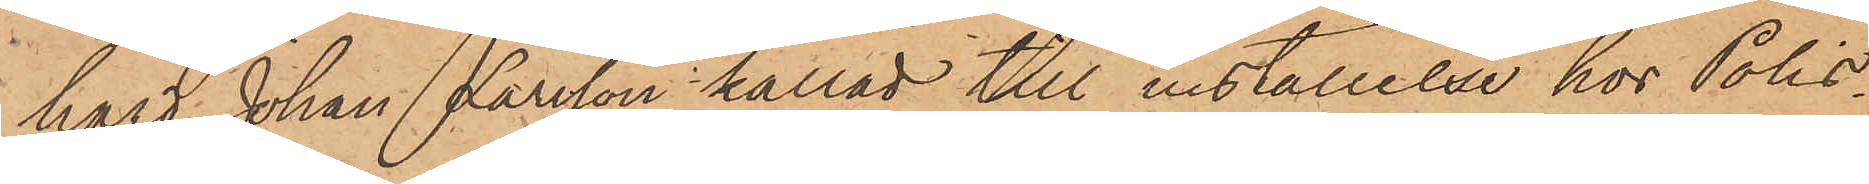hard Johan Larsson kallad till inställelse hos Polis¬
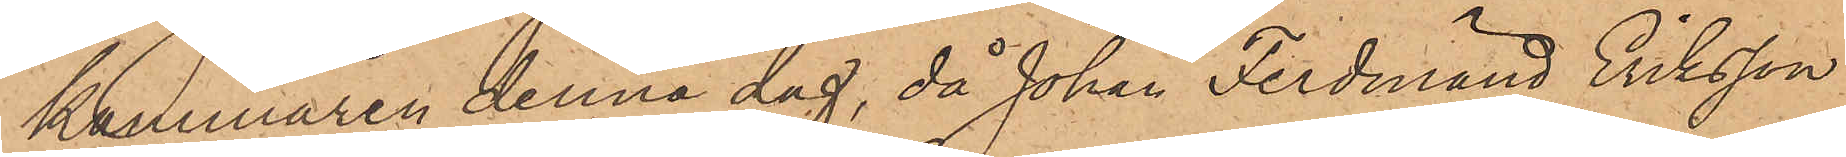kammaren denna dag, då Johan Ferdinand Eriksson
